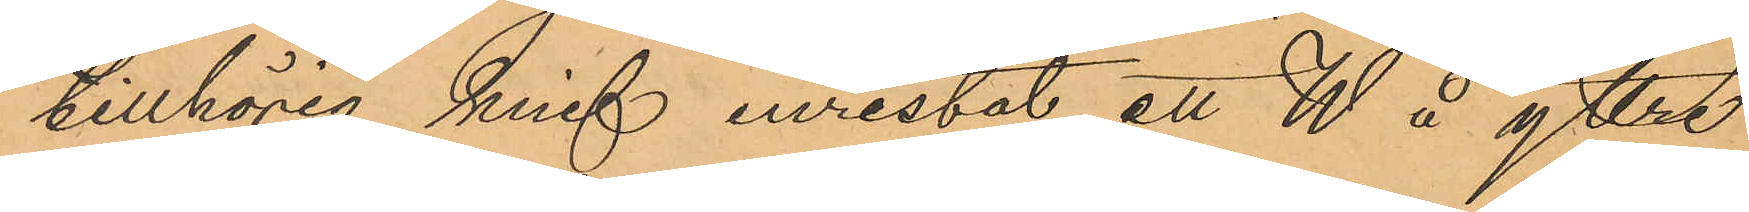tillhörig knif inristat ett W å yttre
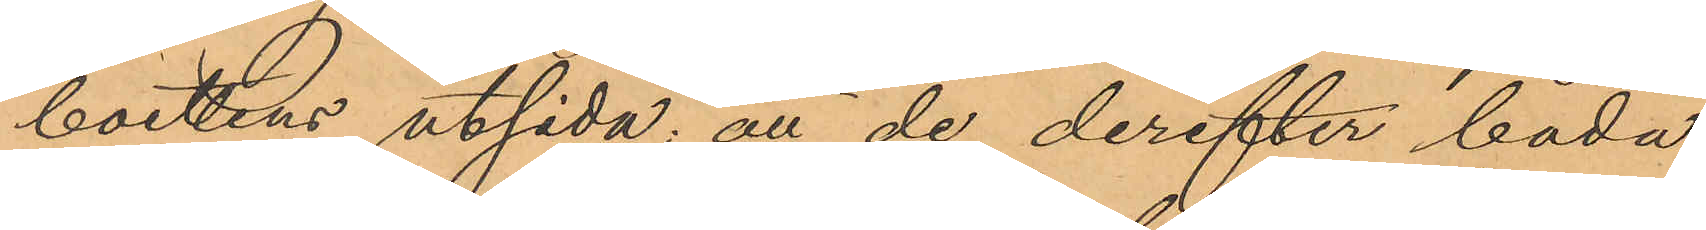boettens utsida; att de derefter båda
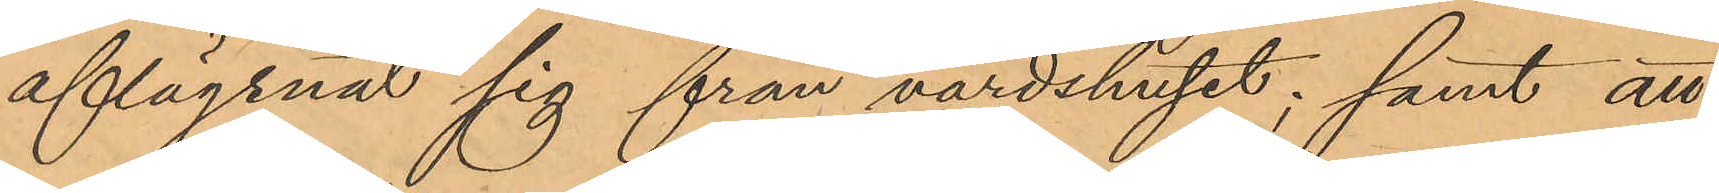aflägsnat sig från värdshuset; samt att
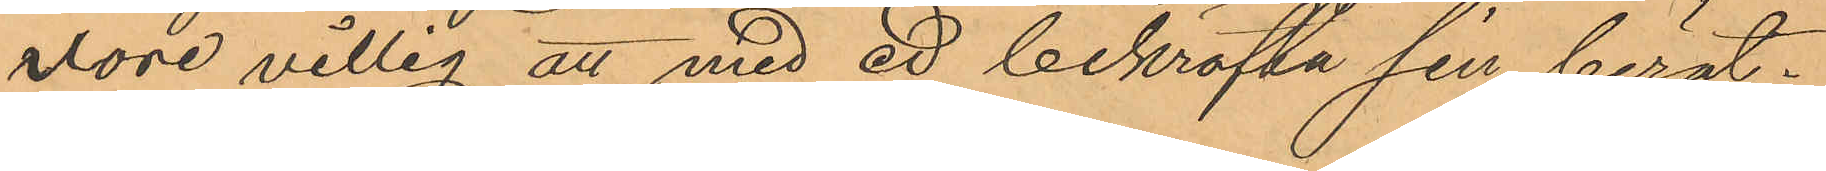vore villig att med ed bekräfta sin berät¬
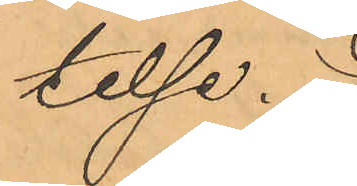telse.
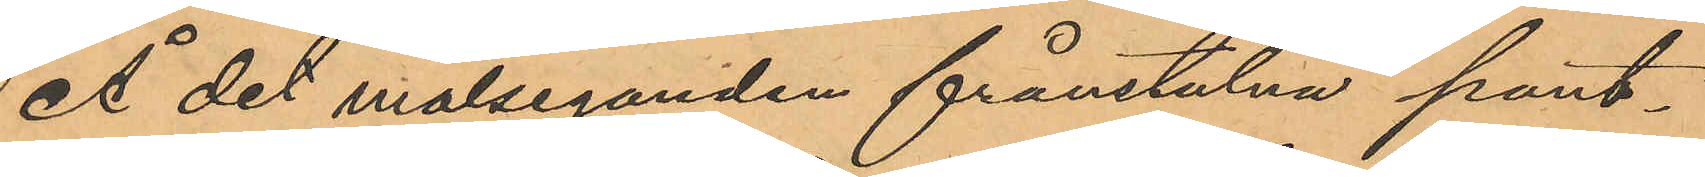Å det målseganden frånstulna pant¬
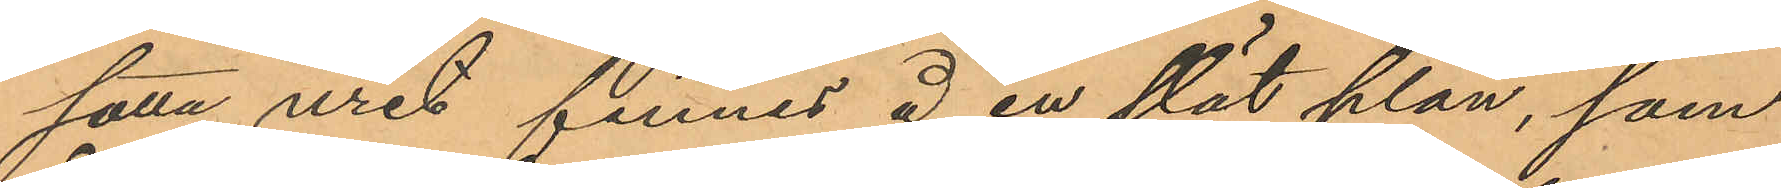satta uret finnes å en slät plan, som
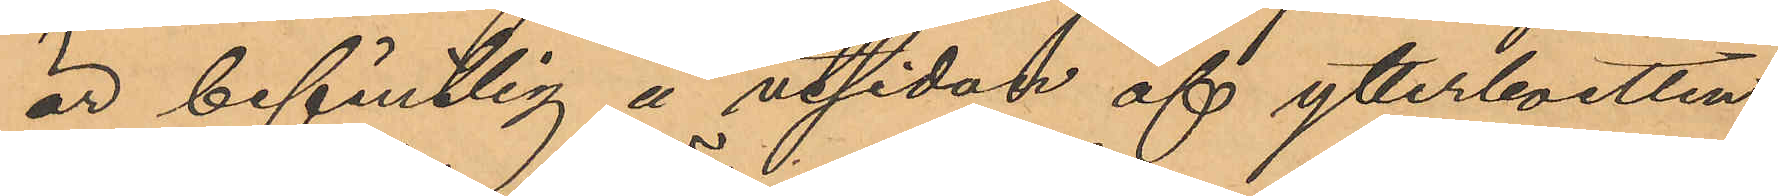är befintlig å utsidan af ytterboetten
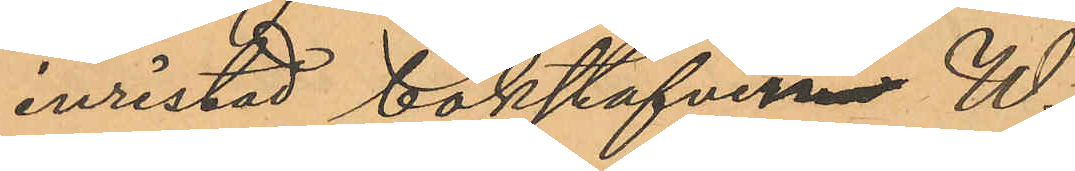inristad bokstafven W.
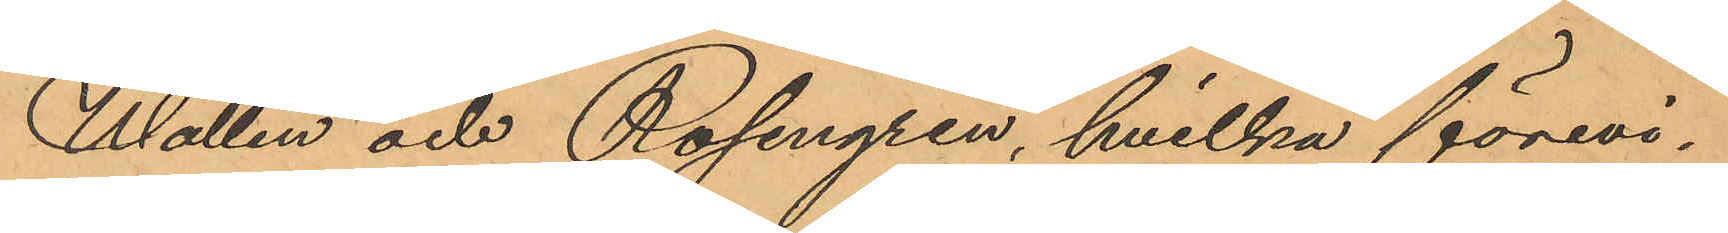Wallin och Rosengren, hvilka förevi¬
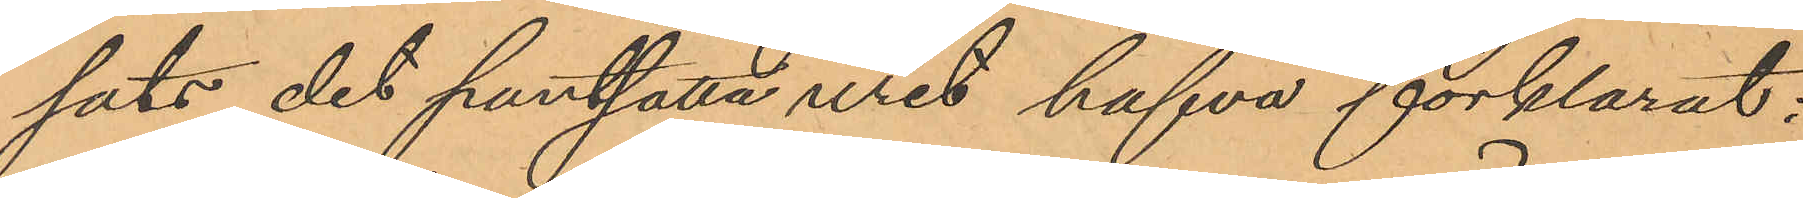sats det pantsatta uret hafva förklarat:
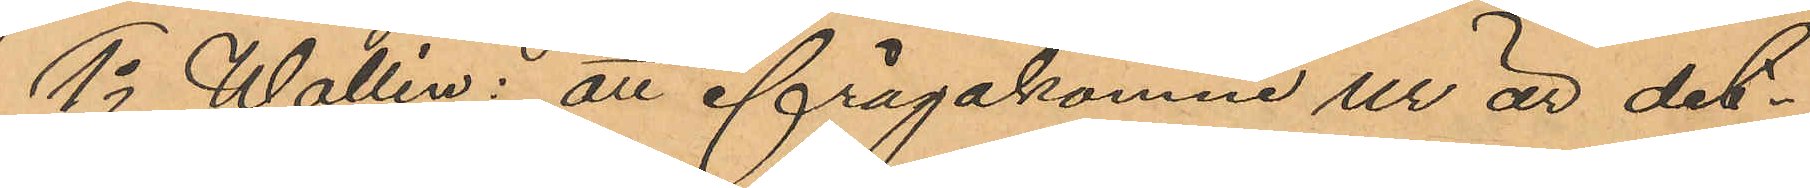1o Wallin: att ifrågakomne ur är det¬
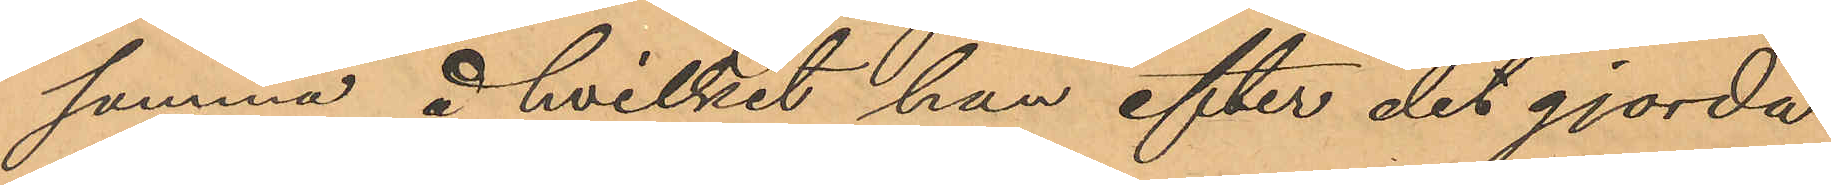samma å hvilket han efter det gjorda
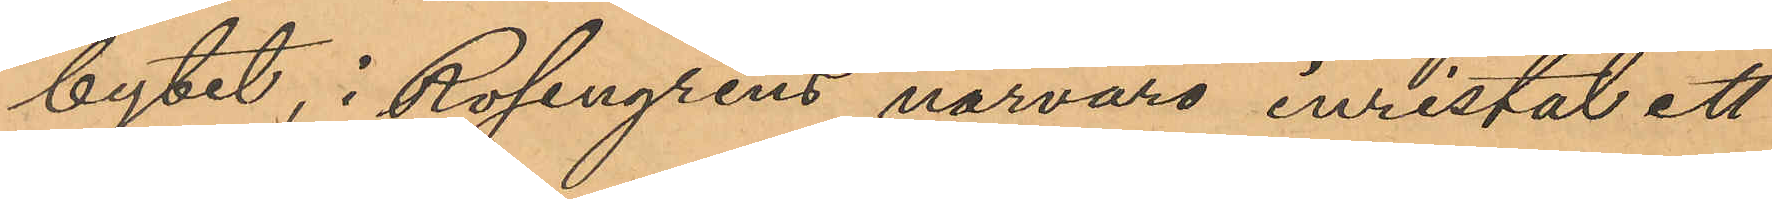bytet, i Rosengrens närvaro inristat ett
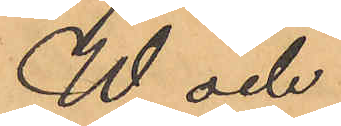W och
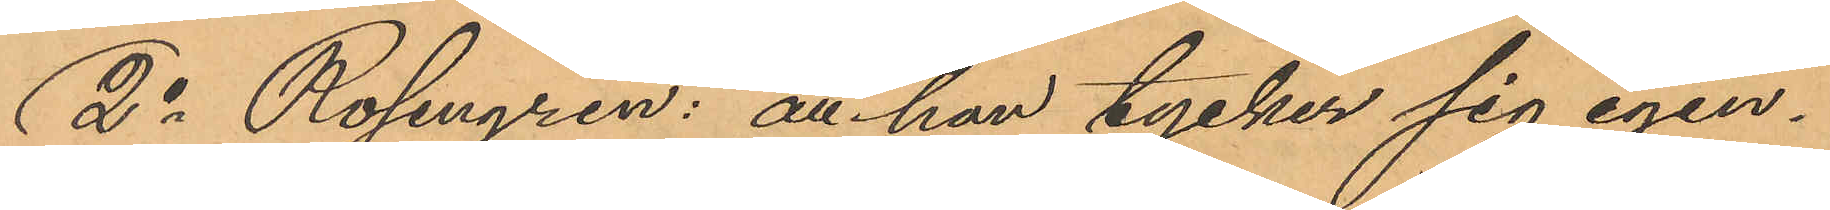2o Rosengren: att han tycker sig igen¬
